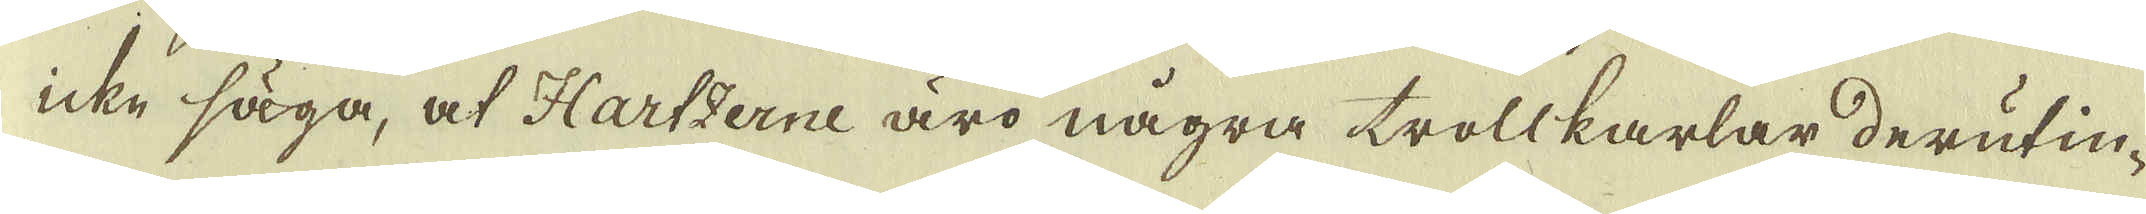icke säga, at Hartzerne äro några trollkarlar derutin-
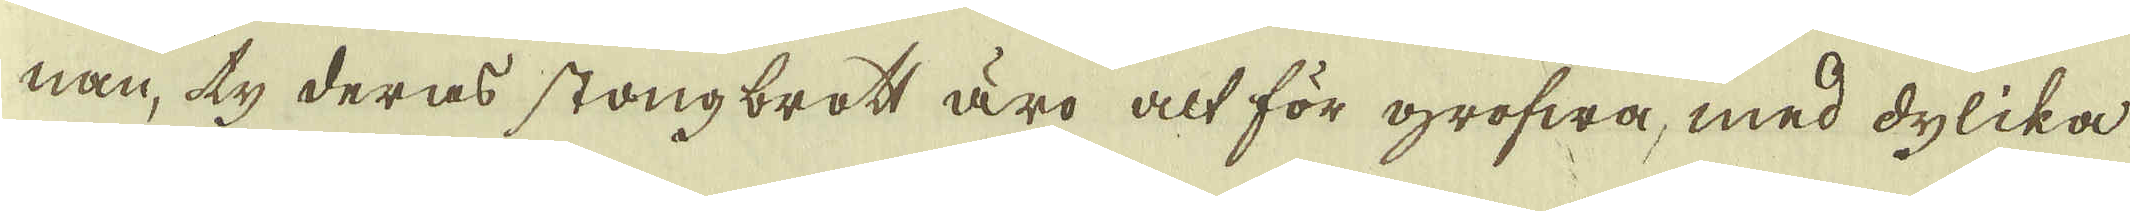nan, ty deras stongbrott äro alt för grofwa, med dylika
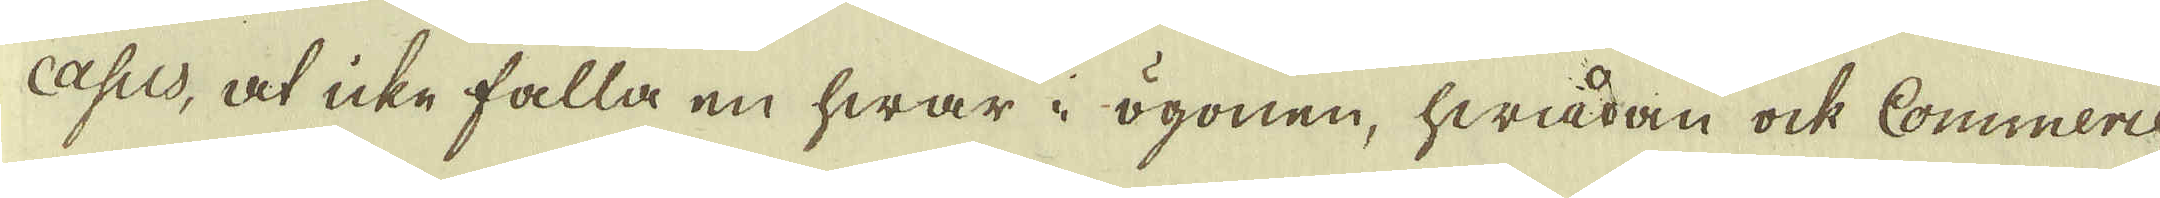Casus, at icke falla en hwar i ögonen, hwadan ock Commerce-
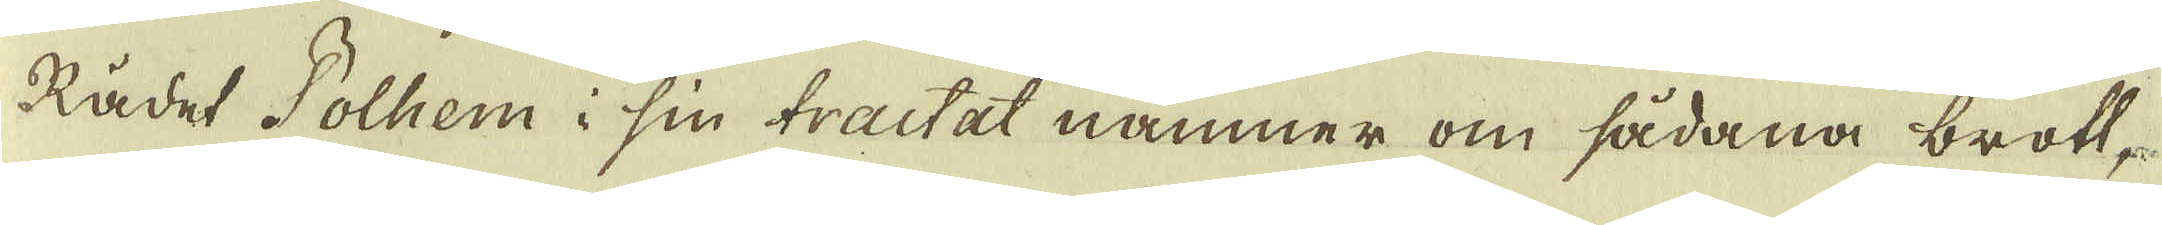Rådet Polhem i sin tractat nämner om sådana brott,
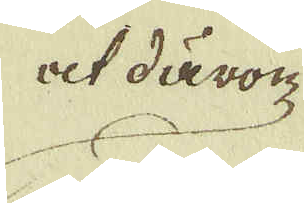at därom
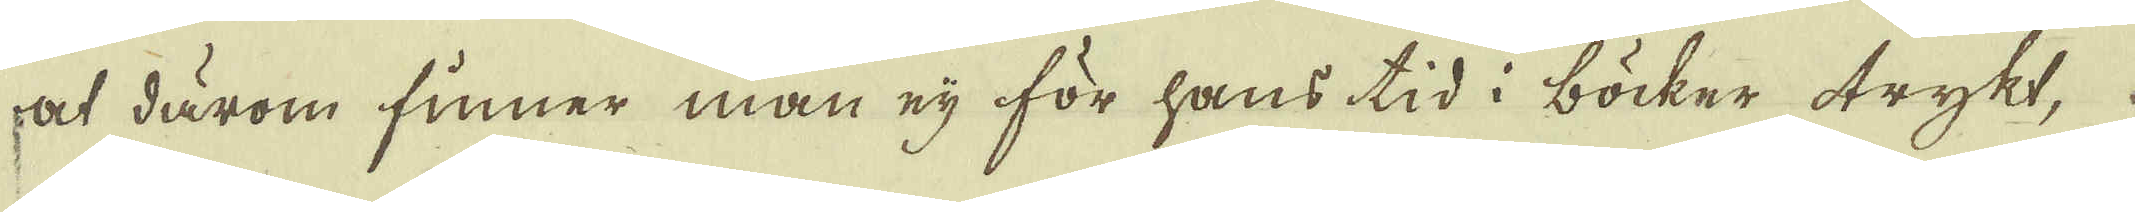at därom finner man eij för hans tid i böcker trykt
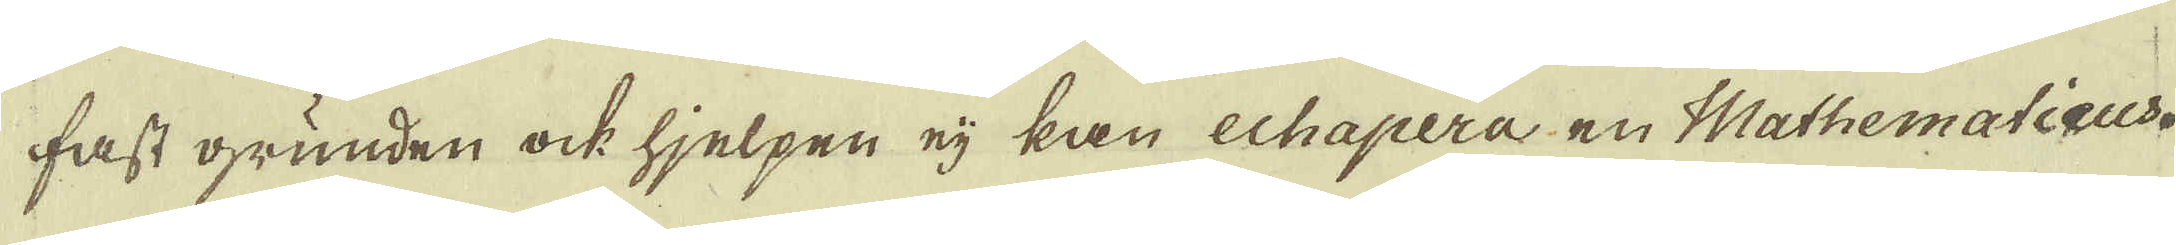fast grunden ock hjelpen eij kan echapera en Mathematicus.
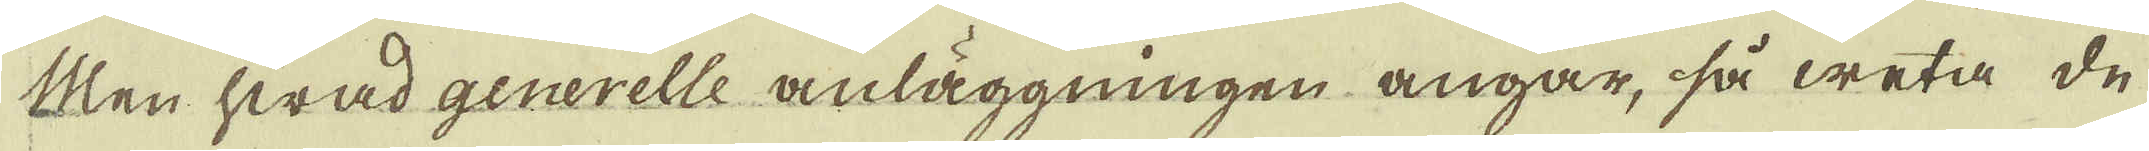Men hwad generelle anläggningen angår, så weta de
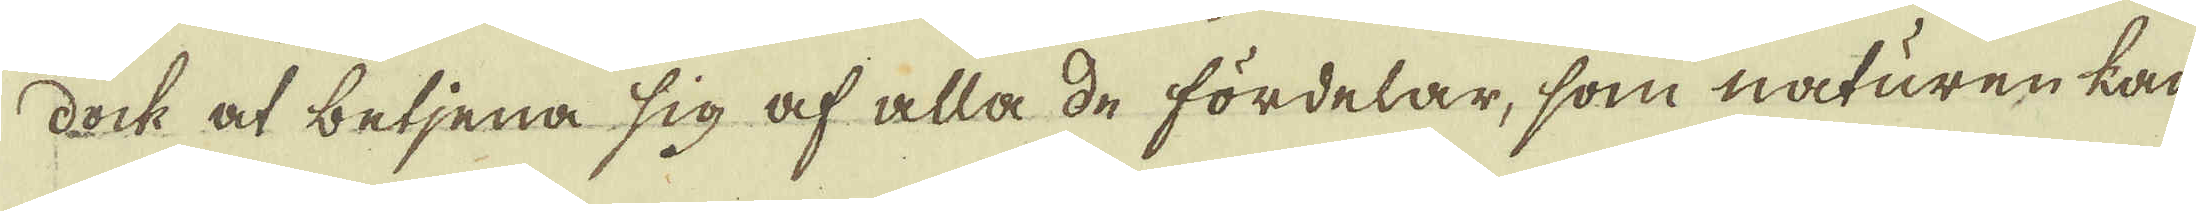dock at betjena sig af alla de fördelar, som naturen kan-
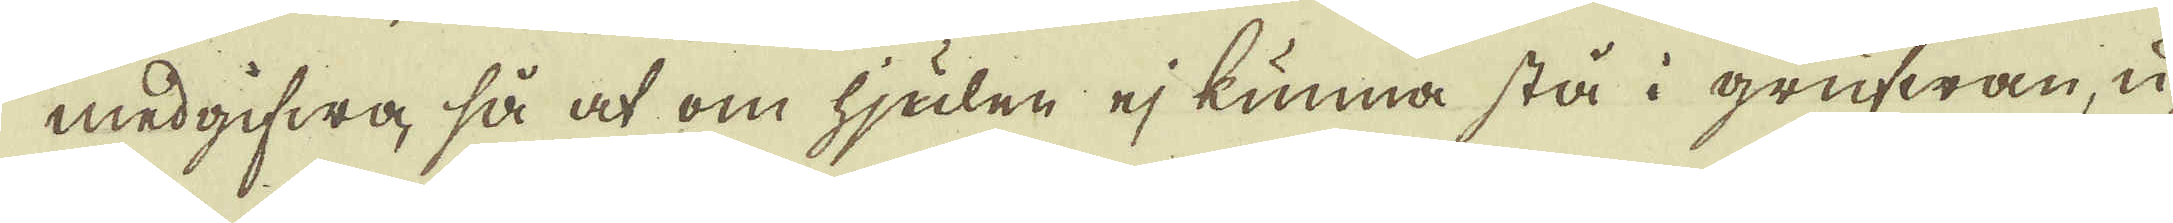medgifwa, så at om hjulen ej kunna stå i grufwan u-
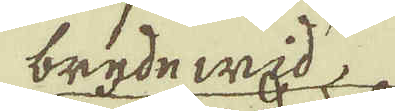bryde wid
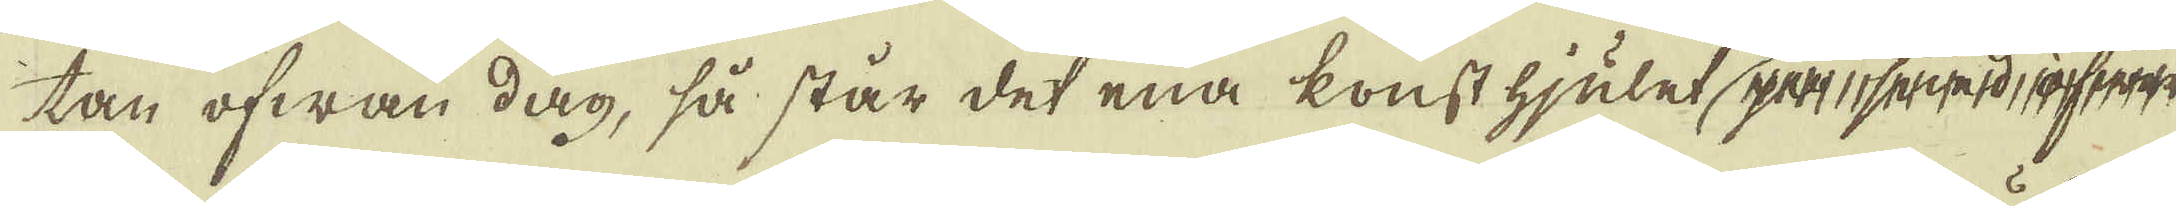tan ofwan dag, så står det ena konst hjulet part seijatd rfert
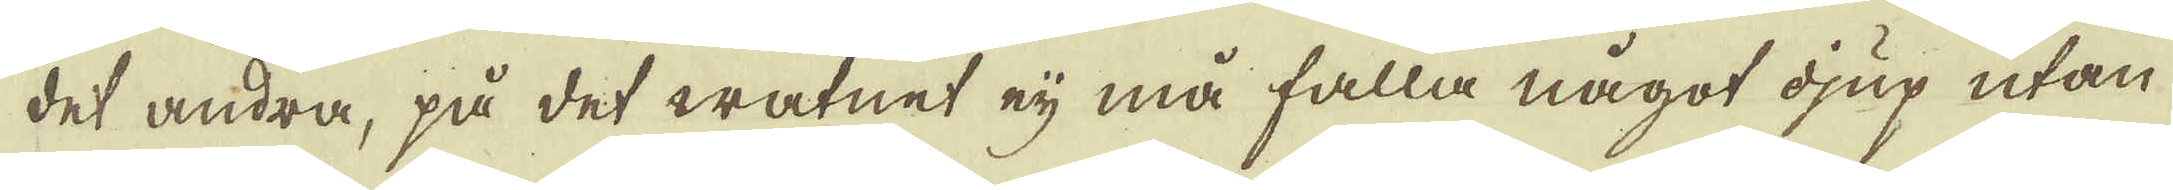det andra, på det watnet eij må falla något djup utan
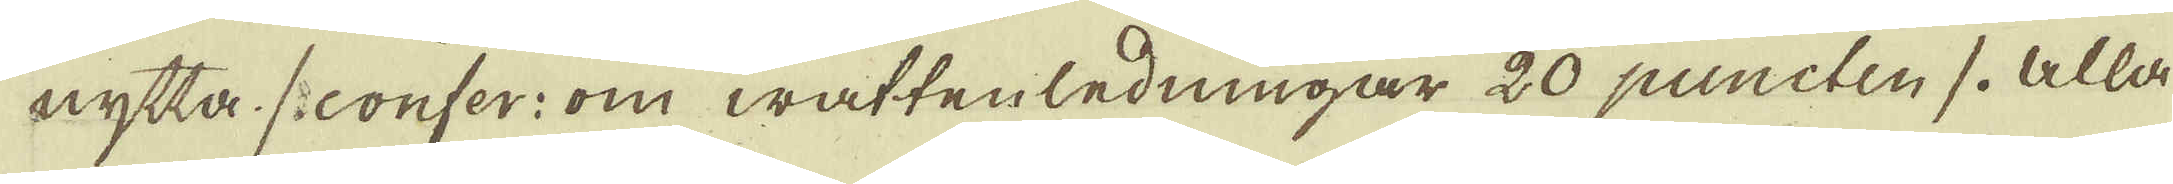nytta /. confer: om wattenledningar 20 puncten /. Alla
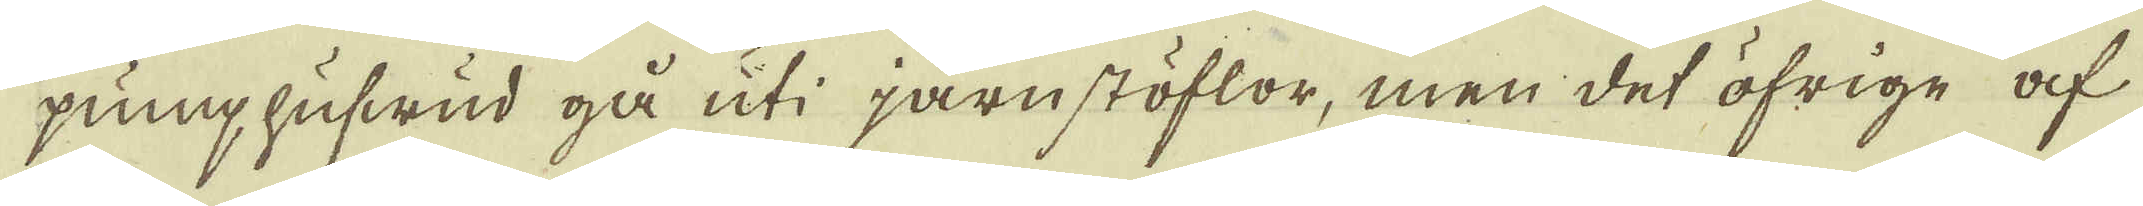pumphufwud gå uti järnstöflor, men det öfrige af
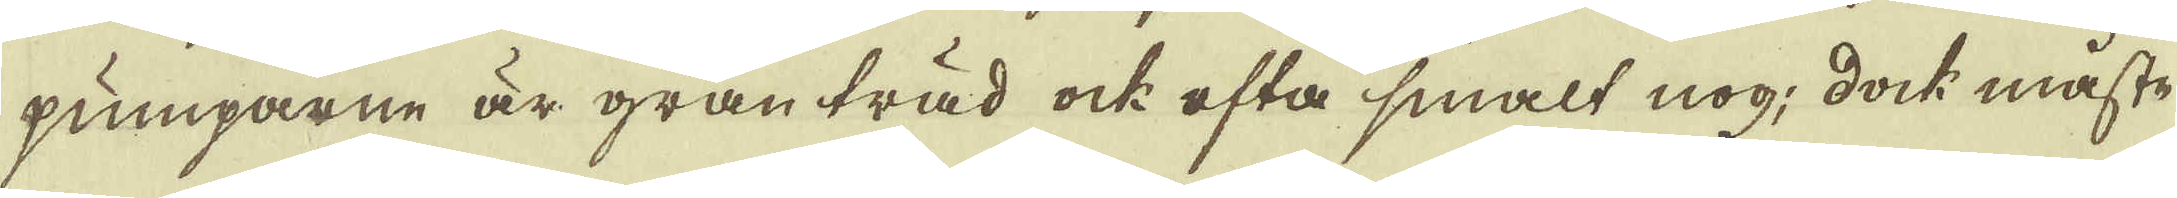pumparne är granträd ock ofta smalt nog; dock måste
